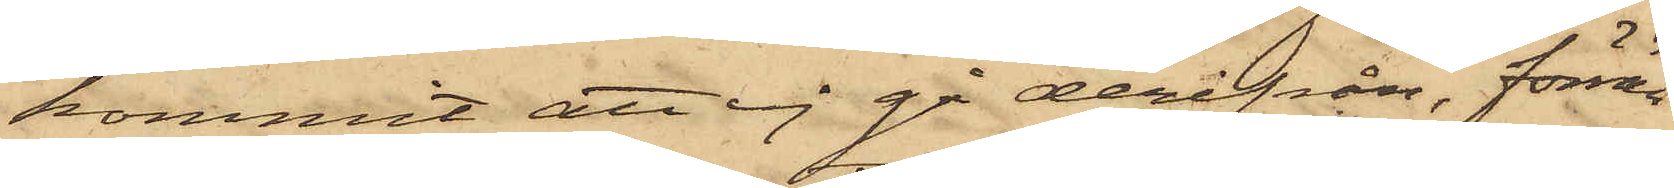kommit att ej gå derifrån, förrän
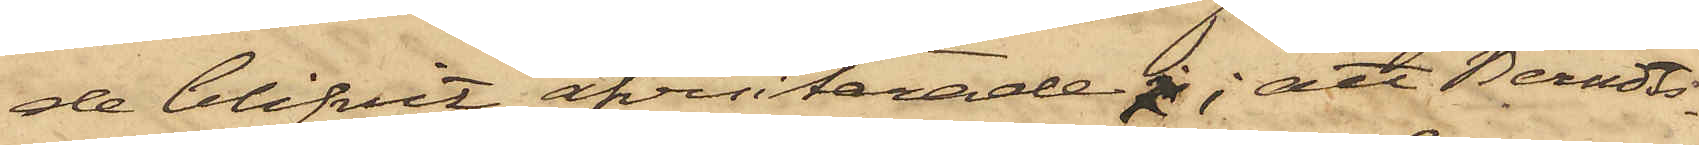de blifvit afvisiterade; att Berndts¬
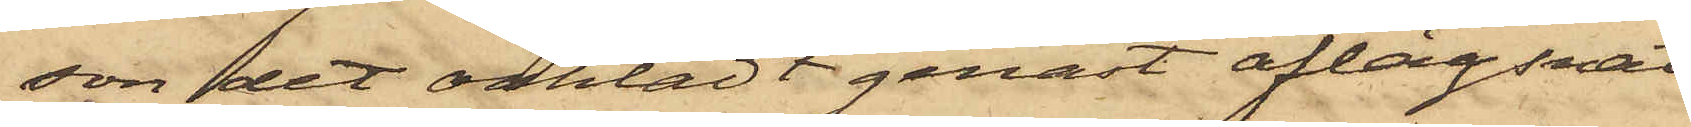son det oaktadt genast aflägsnat
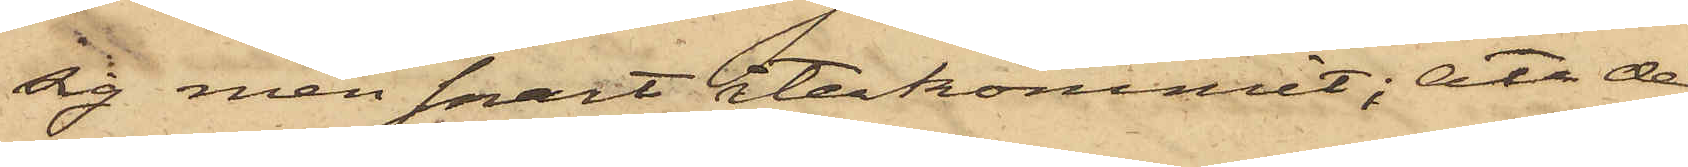sig, men fort återkommit; att de
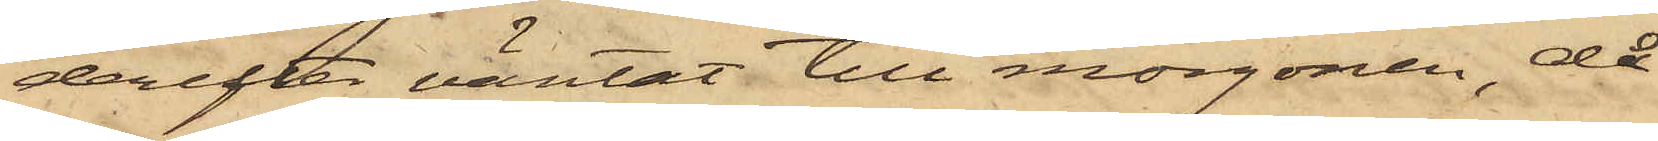derefter väntat till morgonen, då
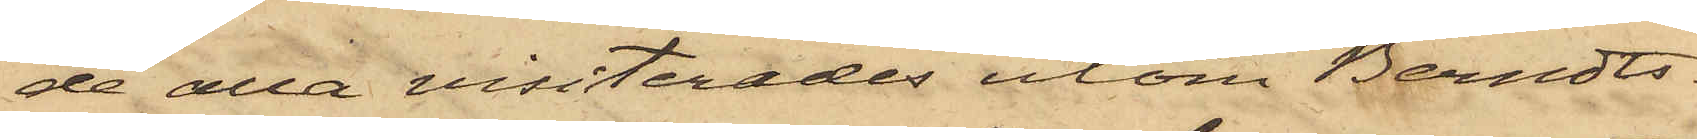de alla visiterades utom Berndts¬
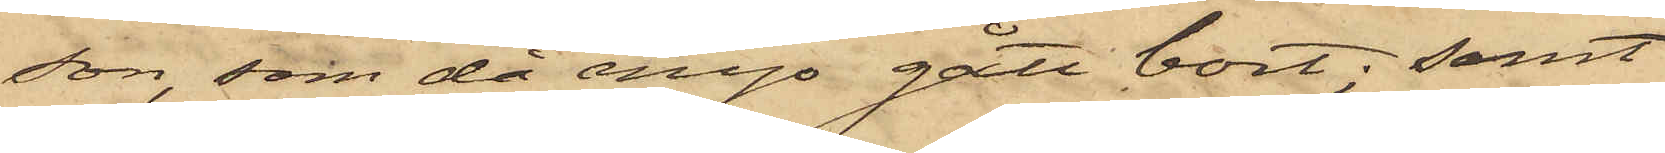son, som då ånyo gått bort; samt
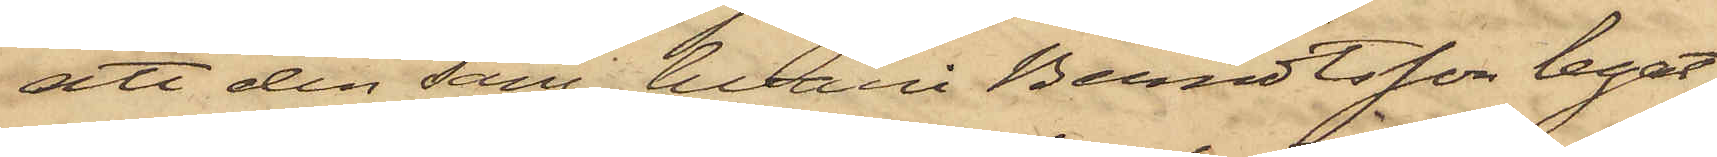att den säng, hvari Berndtsson legat,
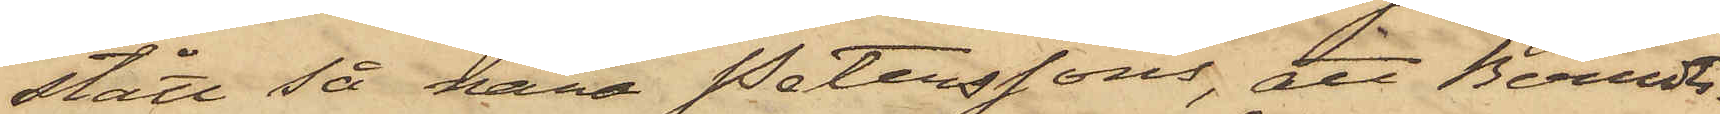stått så nära Peterssons, att Berndts¬
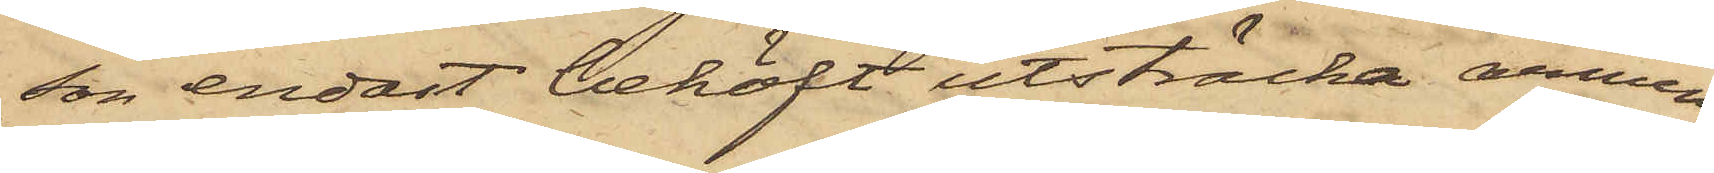son endast behöft utsträcka armen
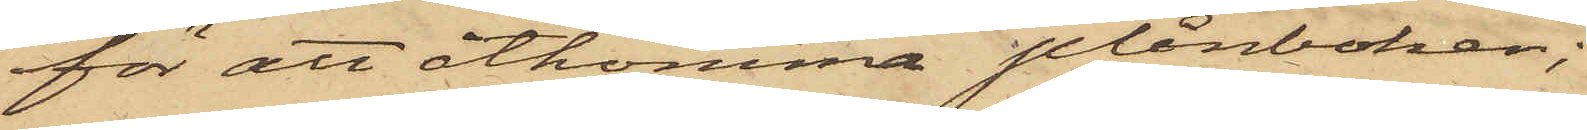för att åtkomma plånboken;
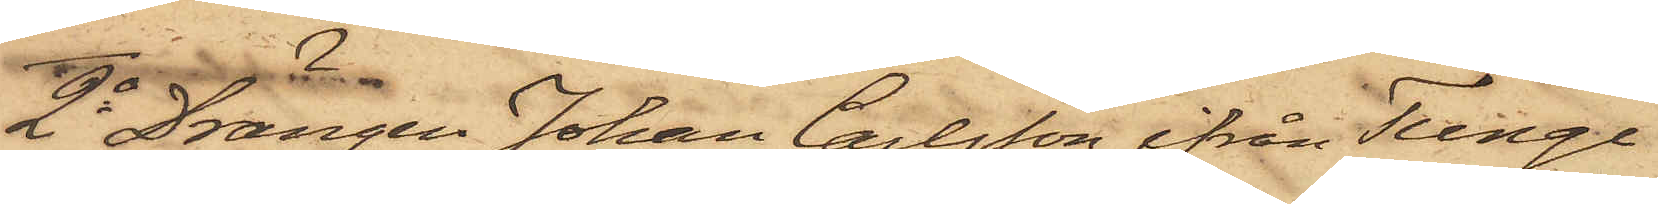2o Drängen Johan Carlsson ifrån Tunge
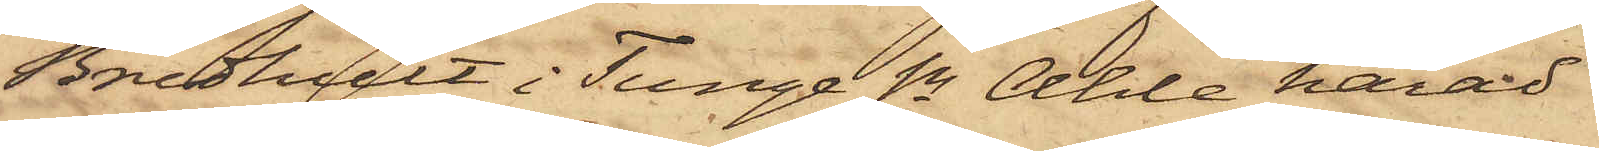Bredhult i Tunge Sn Ahle härad
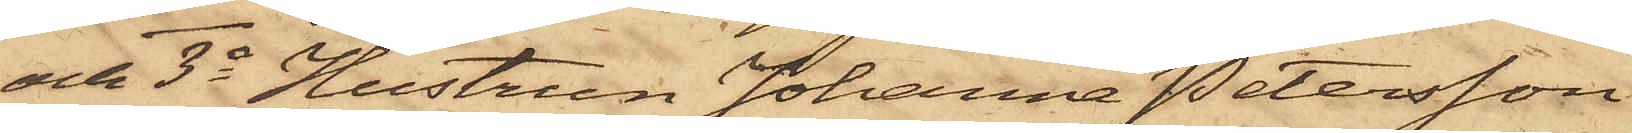och 3o Hustrun Johanna Petersson
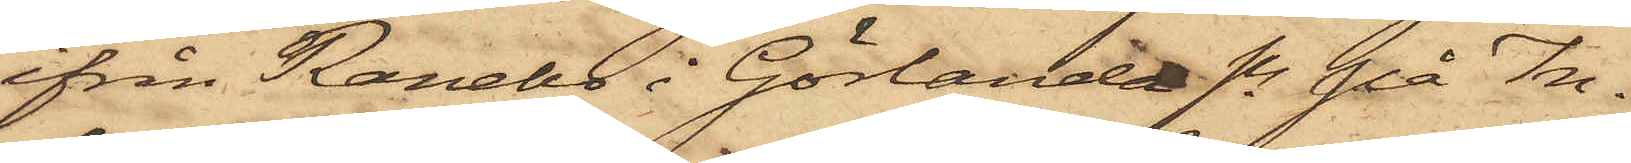ifrån Ranebo i Görlanda Sn på In¬
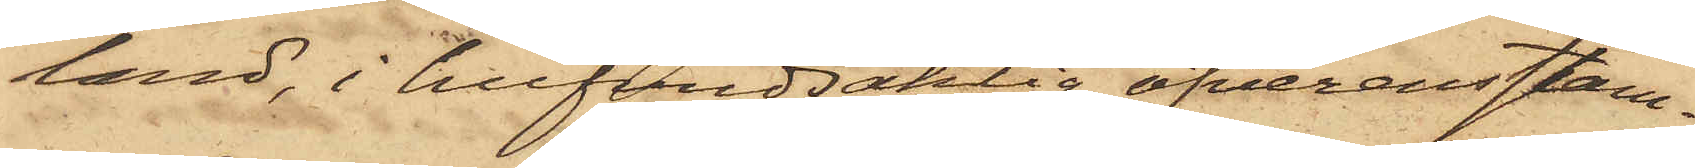land, i hufvudsaklig öfverensstäm¬
